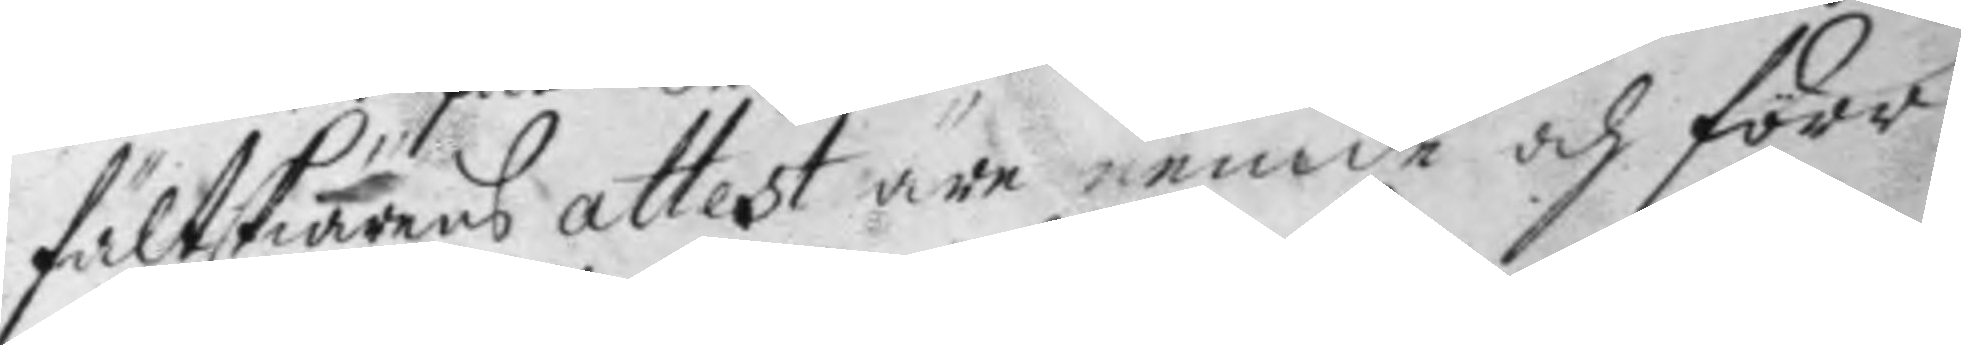fältskiärens attest äre nemde och förr
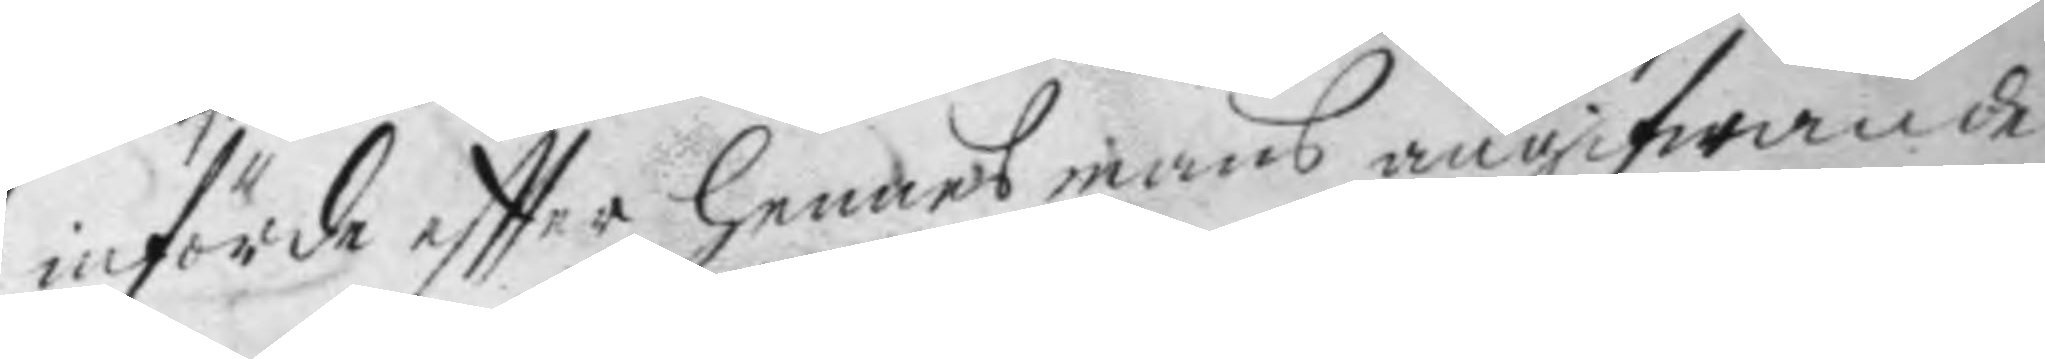införde eftter hennes mans angifwande.
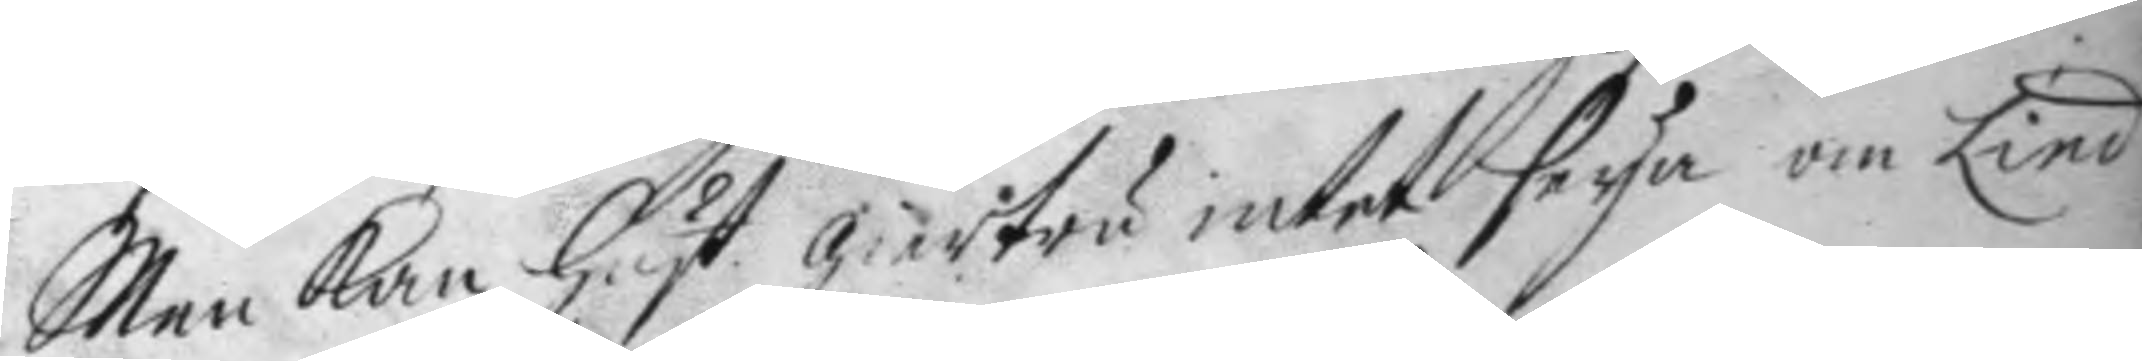Men kan hust. giertru intet seya om Lind
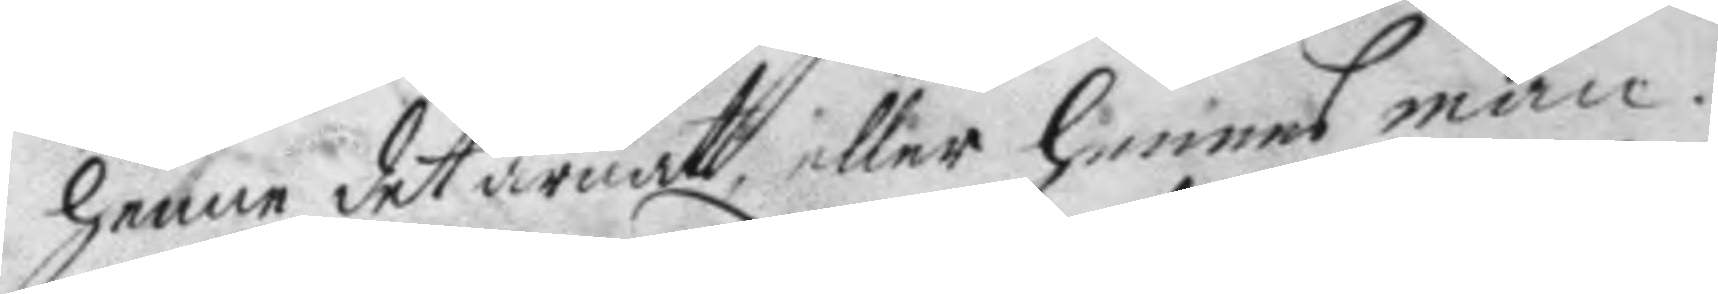henne det ärnat eller hennes man.
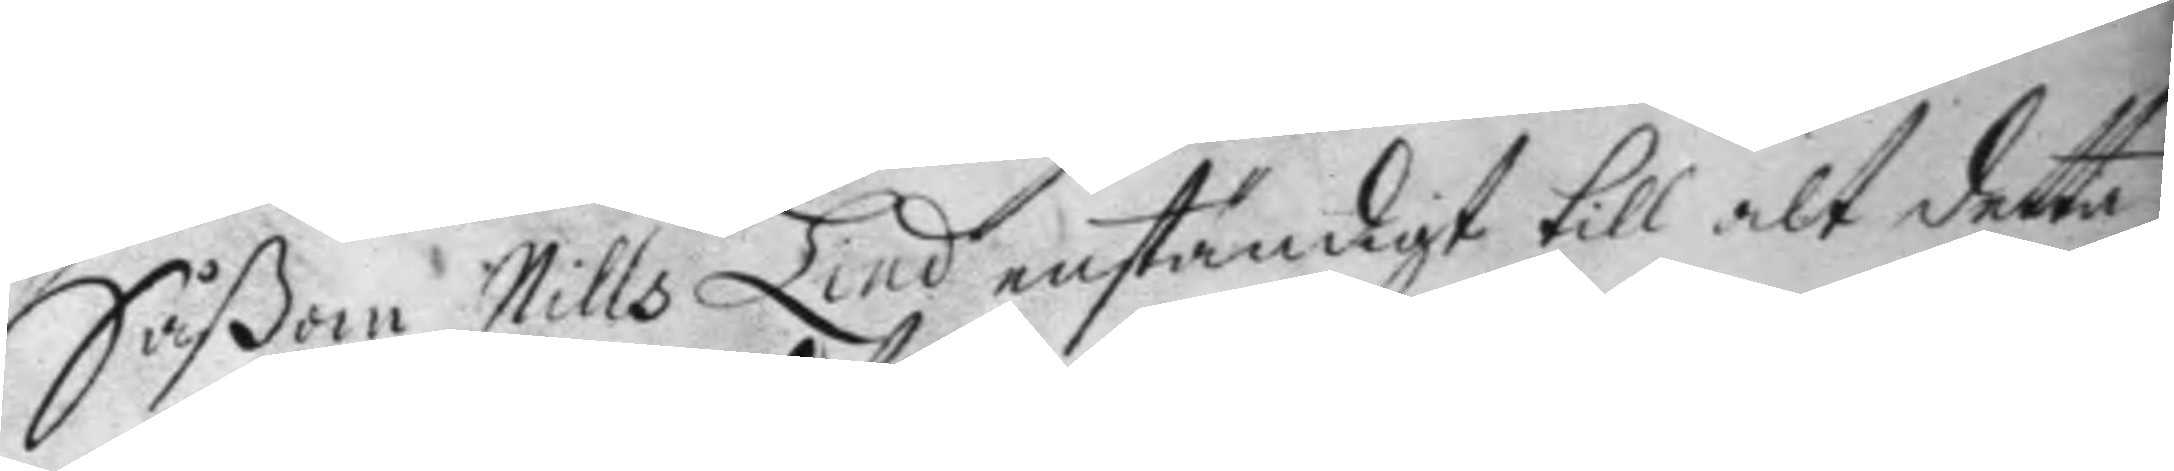Såßom Nills Lind enständigt till alt detta
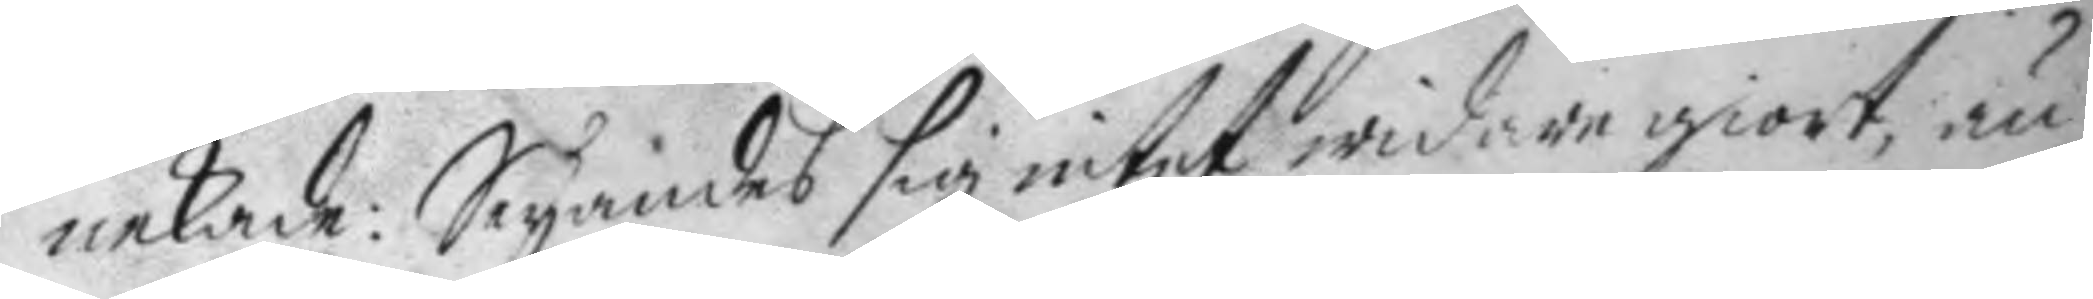nekade: Seyandes sig intet widare giort, än
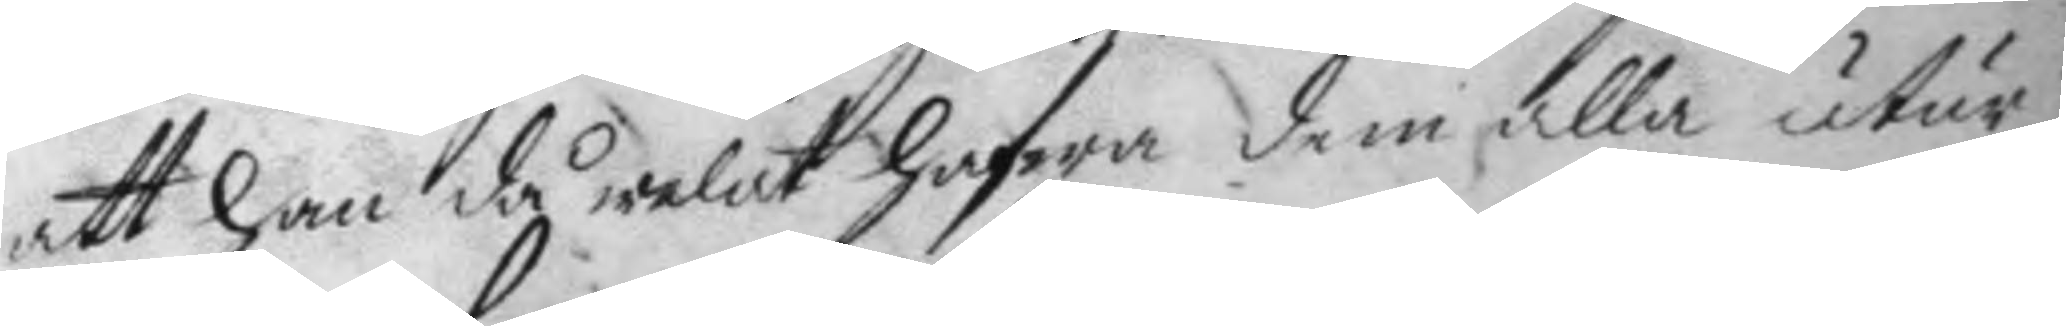att han då welat hafwa dem alla utur
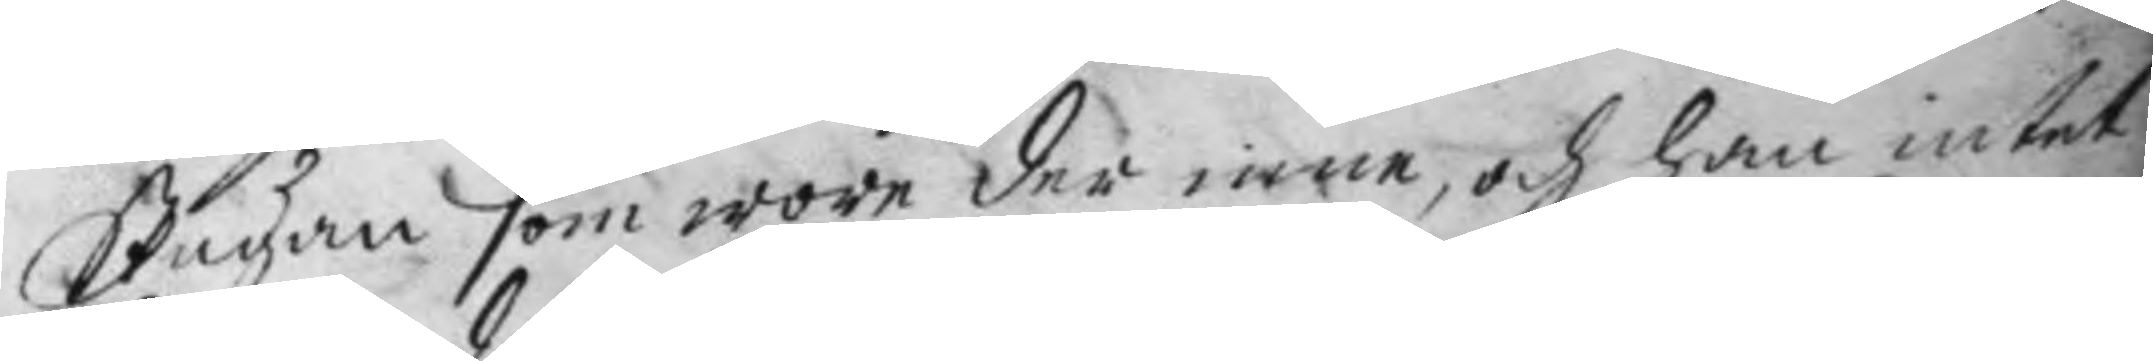Stugan som wore der inne, och han intet
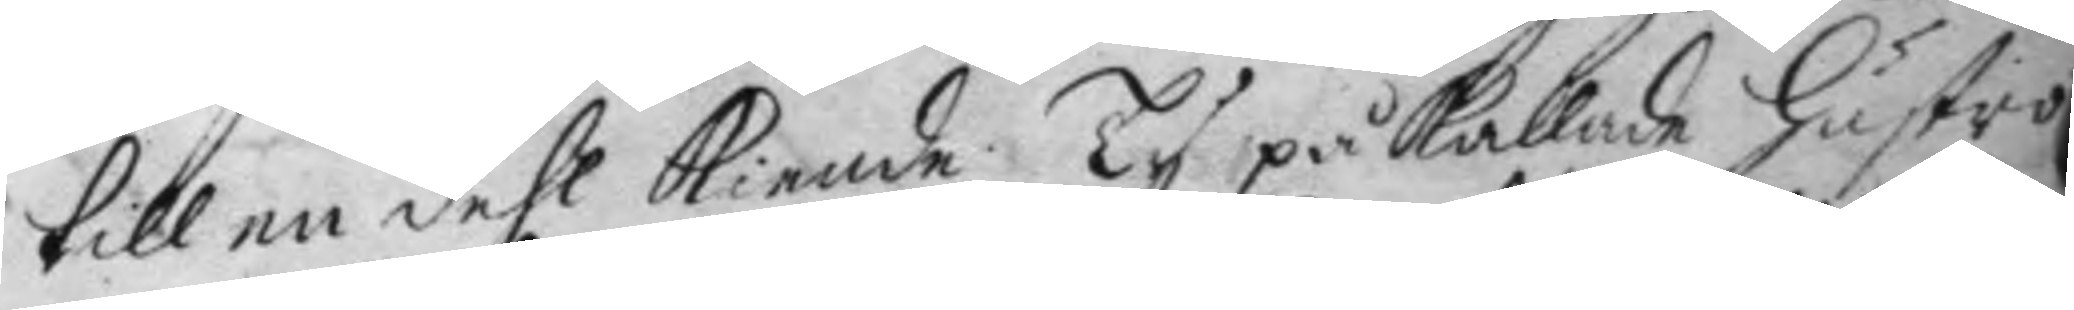till en dehl kiende, Ty påkallade hustro
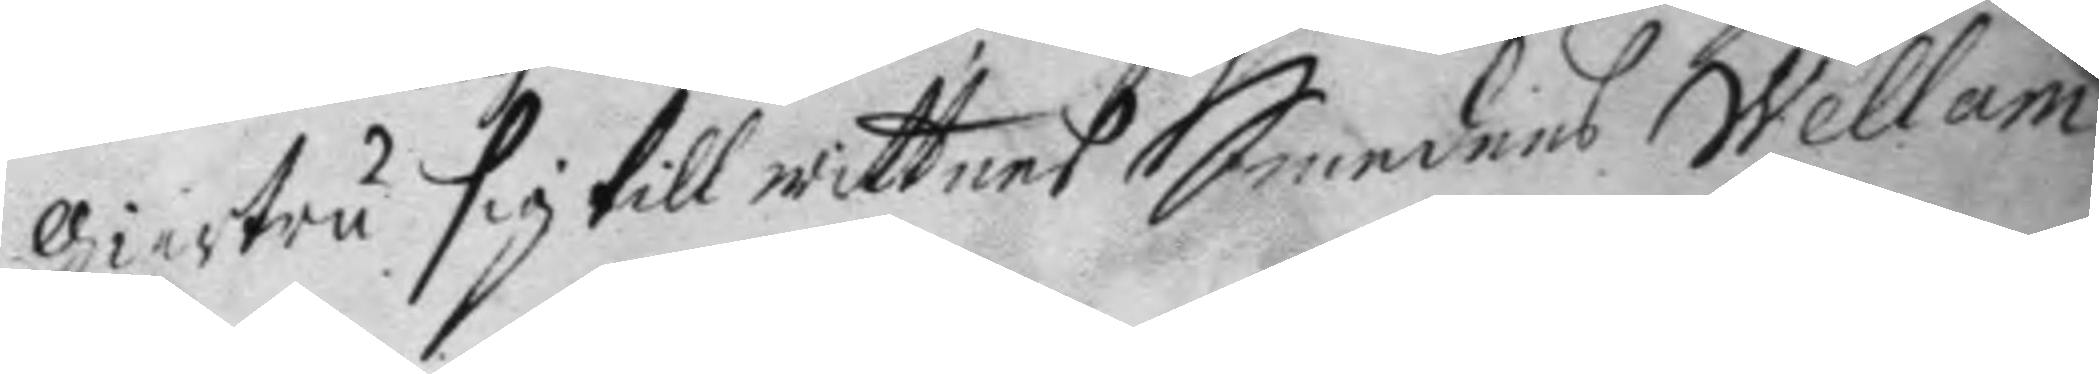giertru sig till wittnes Smedens Wellam
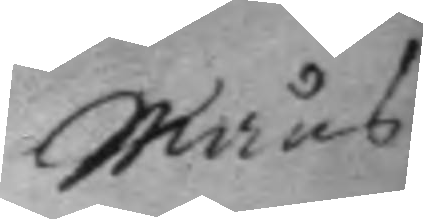Måns
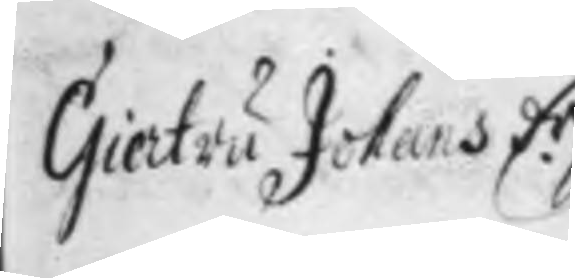Giertru Johans d.r
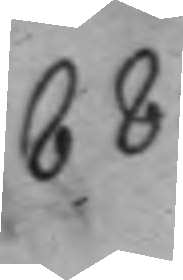88.
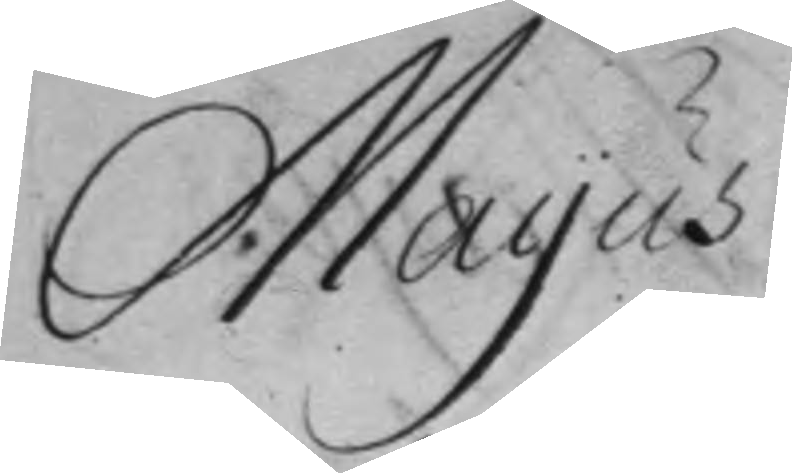Mayus
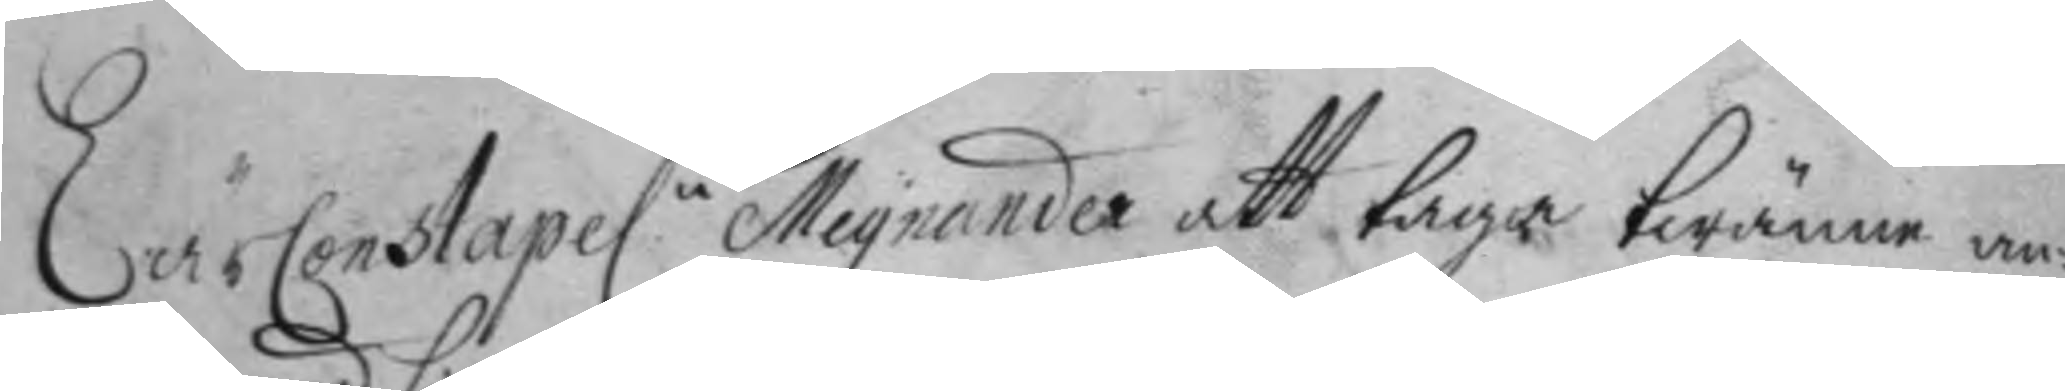LärConstapel.n Meyander att taga twänne an¬
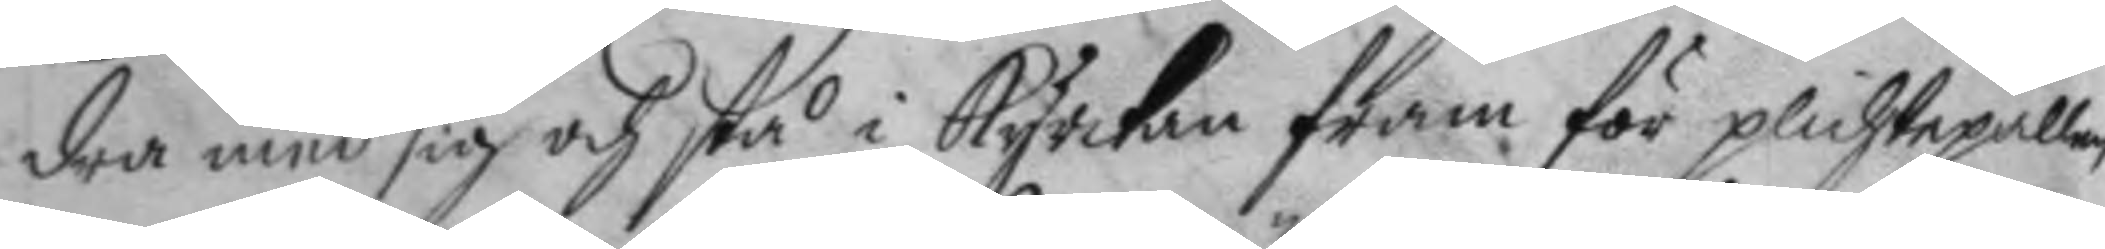dra med sig och stå i kyrkan fram för plichtpallen
